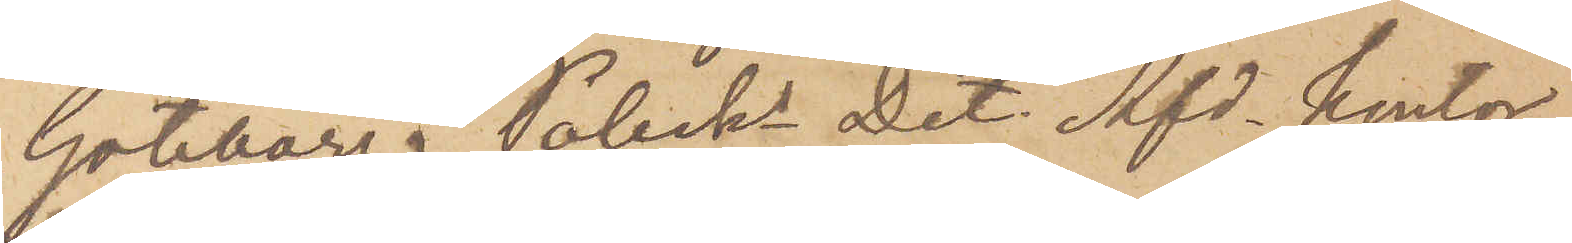Göteborg. Polisks Det. Afd kontor
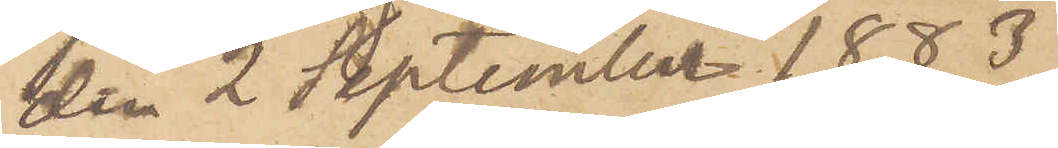den 2 September 1883.
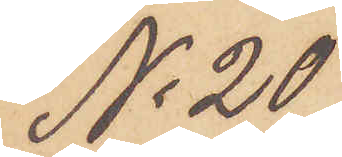No 20
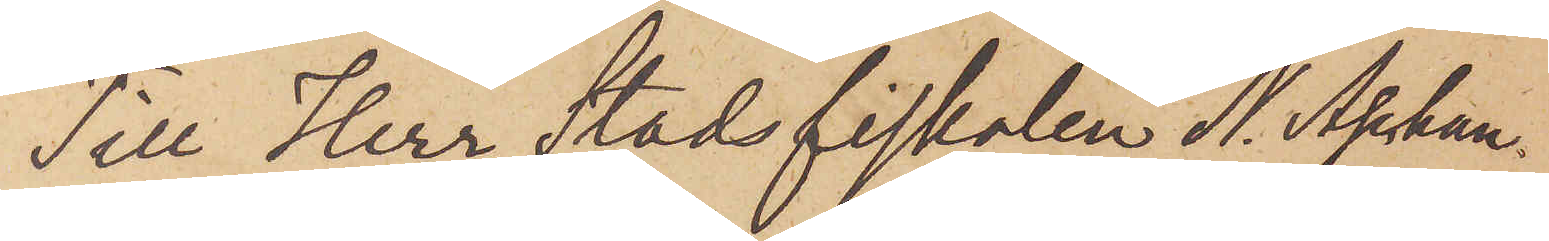Till Herr Stadsfiskalen N. Aschan.
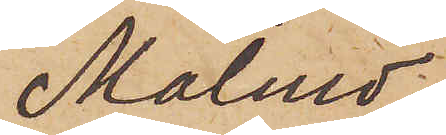Malmö.
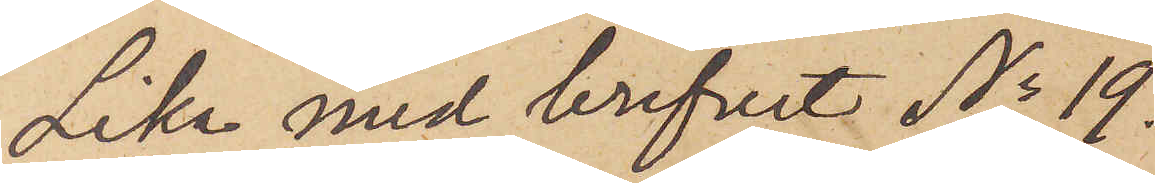Lika med brefvet No 19.
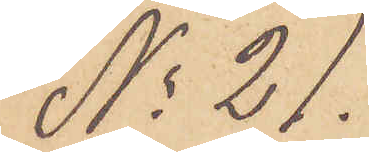No 21.
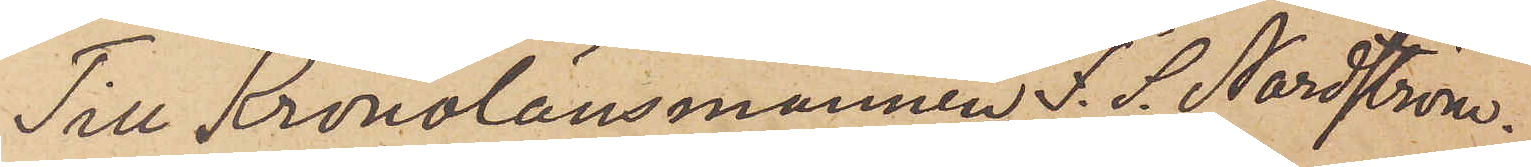Till Kronolänsmannen F. S. Nordström.
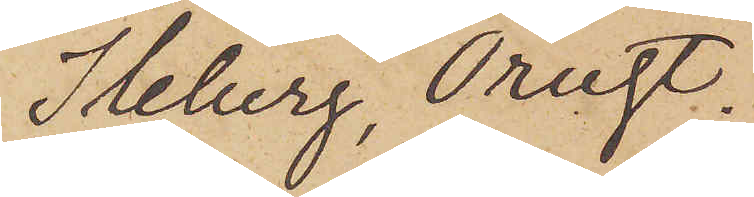Ileberg, Orust.
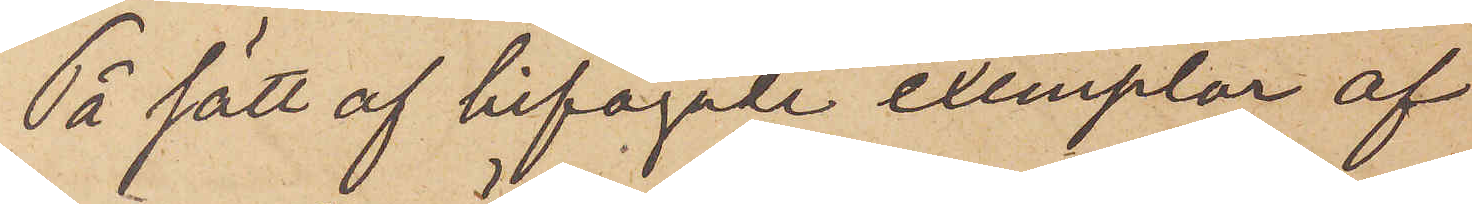På sätt af bifogade exemplar af
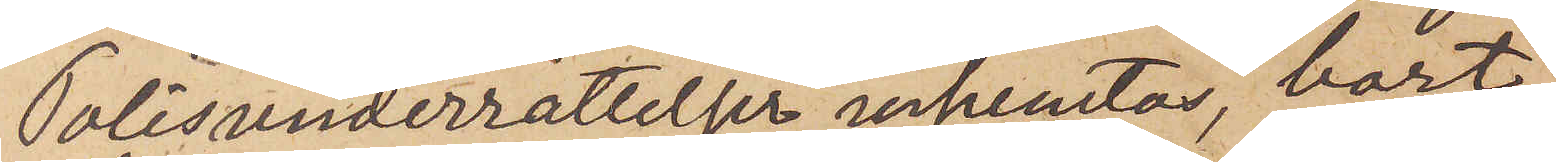Polisunderrättelser inhemtas, bort¬
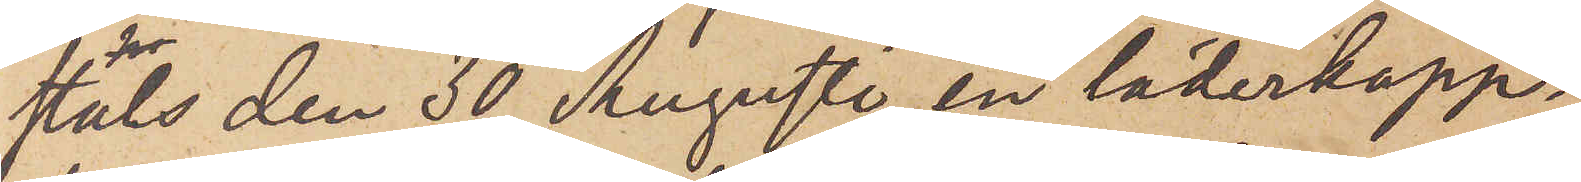stals den 30 Augusti en läderkapp¬
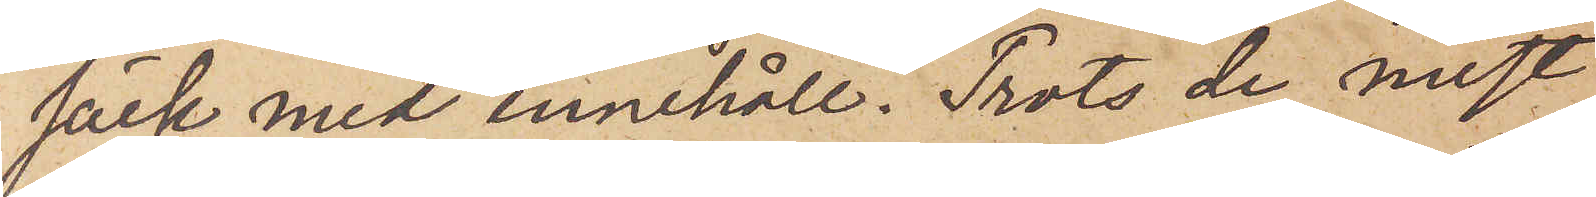säck med innehåll. Trots de mest
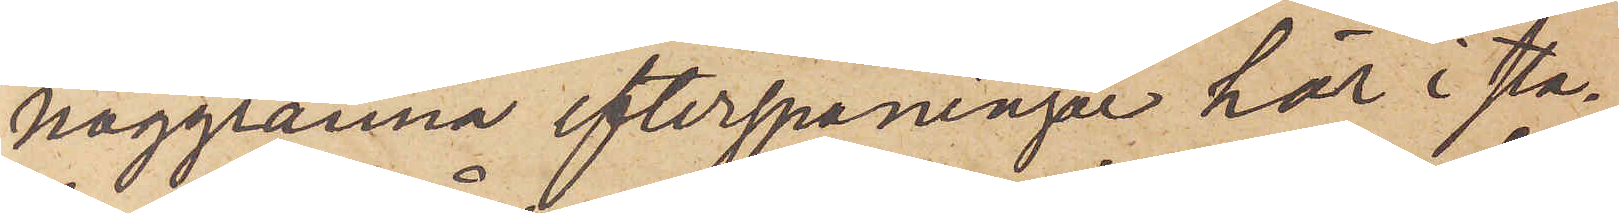noggranna efterspaningar här i sta¬
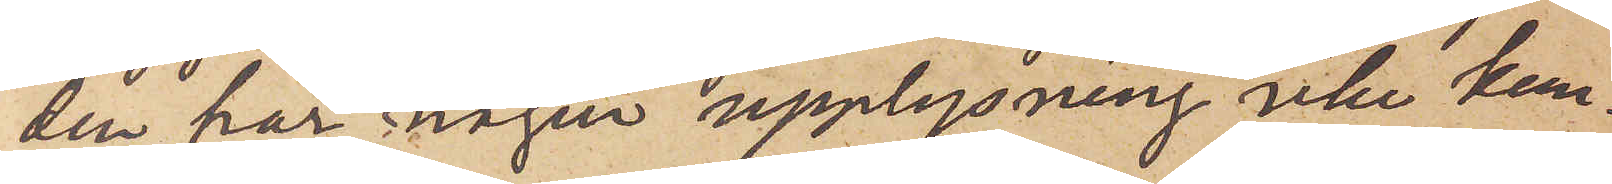den har någon upplysning icke kun¬
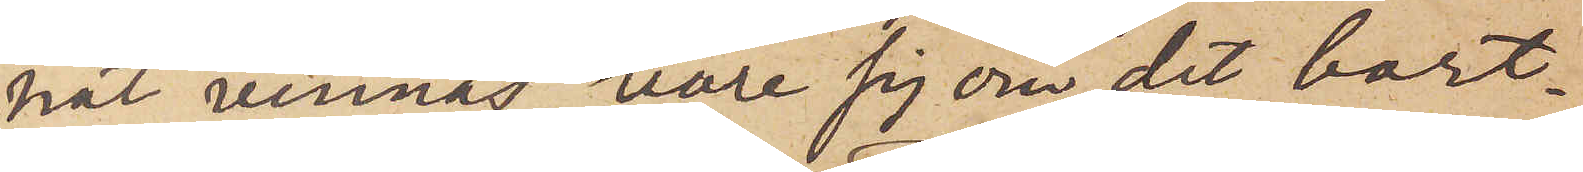nat vinnas vare sig om det bort¬
